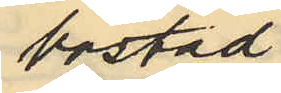bostad
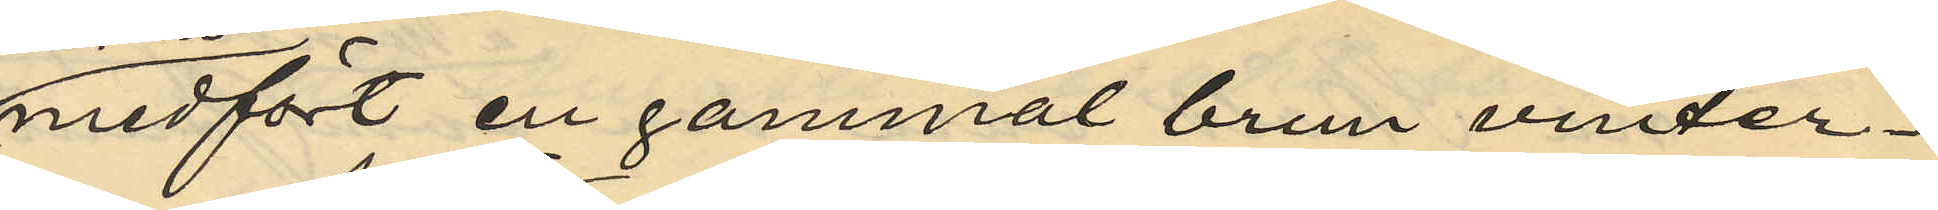medfört en gammal brun vinter¬
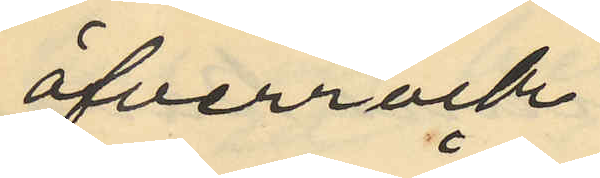öfverrock
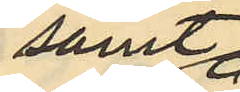samt
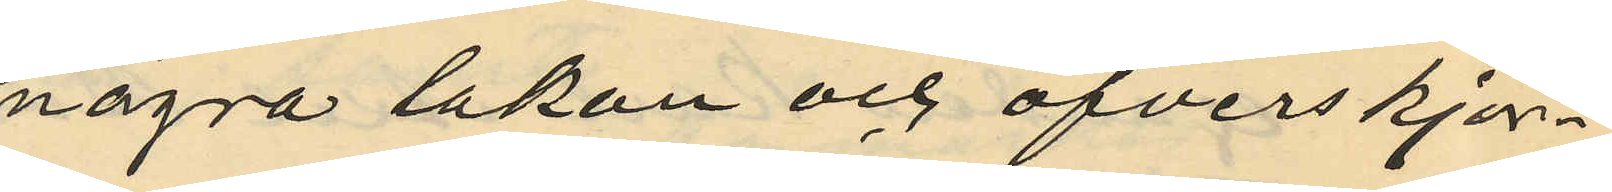några lakan och öfverskjor¬
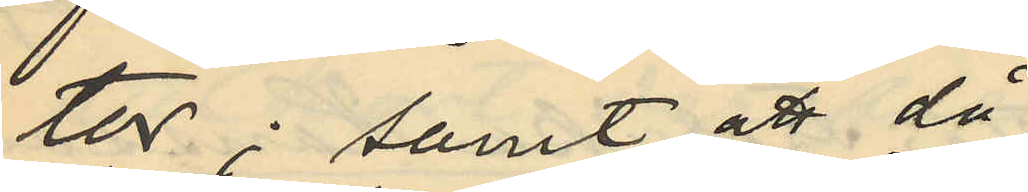tor; samt att då
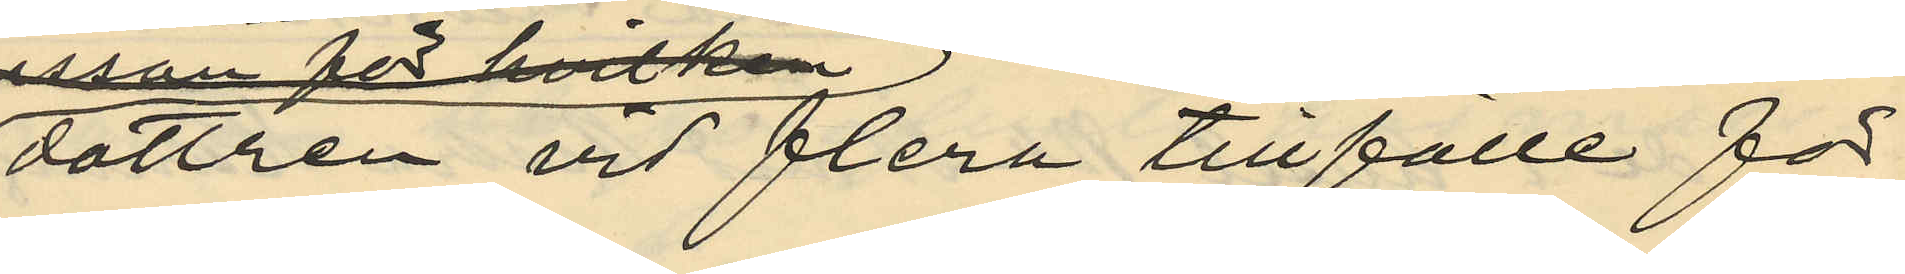dottren vid flera tillfälle för
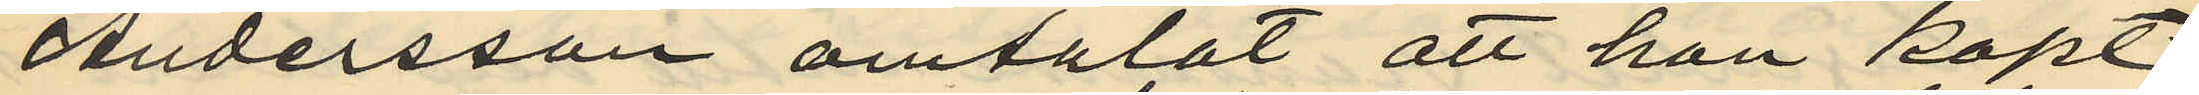Andersson omtalat att hon köpt
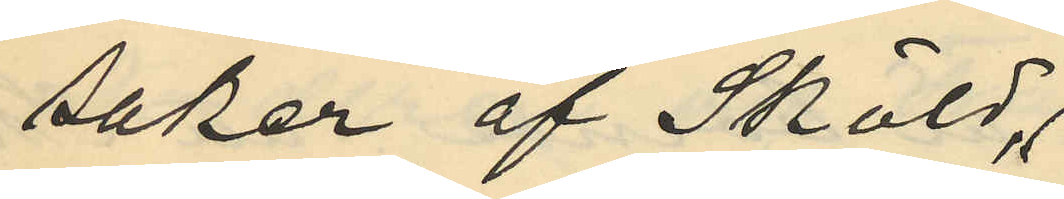saker af Sköld,
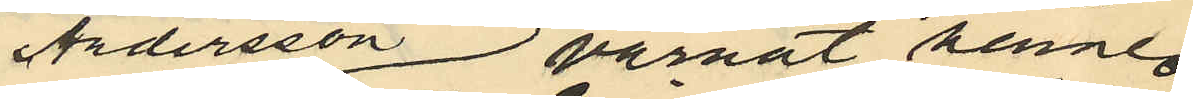Andersson varnat henne
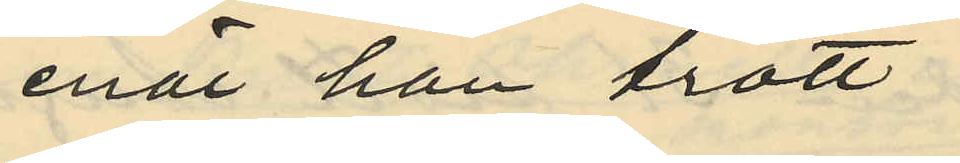enär han trott
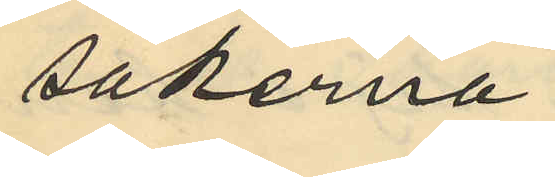sakerna.
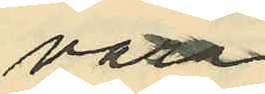vara
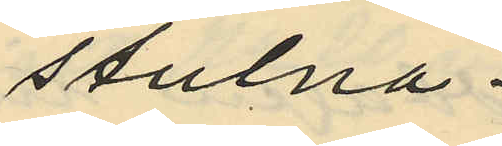stulna.
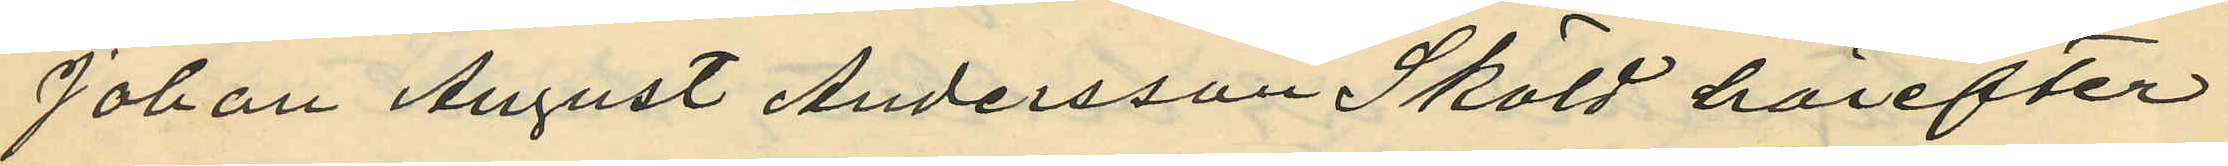Johan August Andersson Sköld härefter
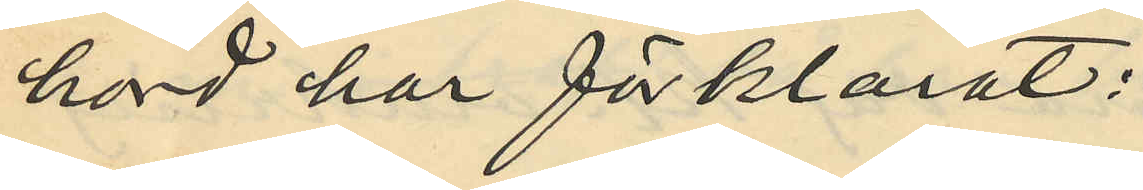hörd har förklarat:
